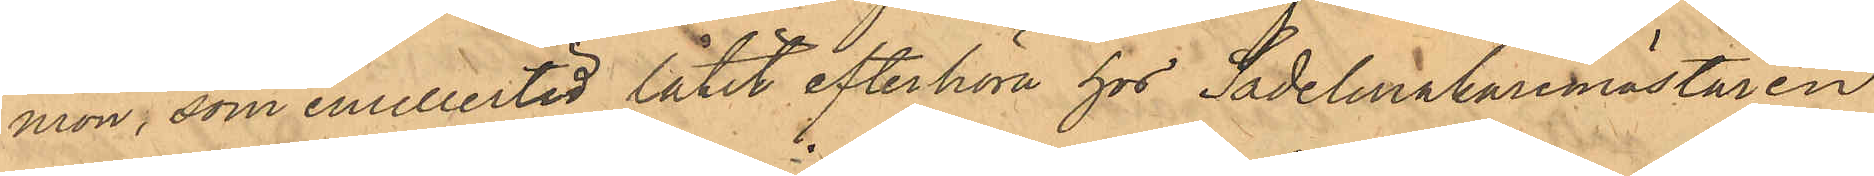mon, som emellertid låtit efterhöra hos Sadelmakaremästaren
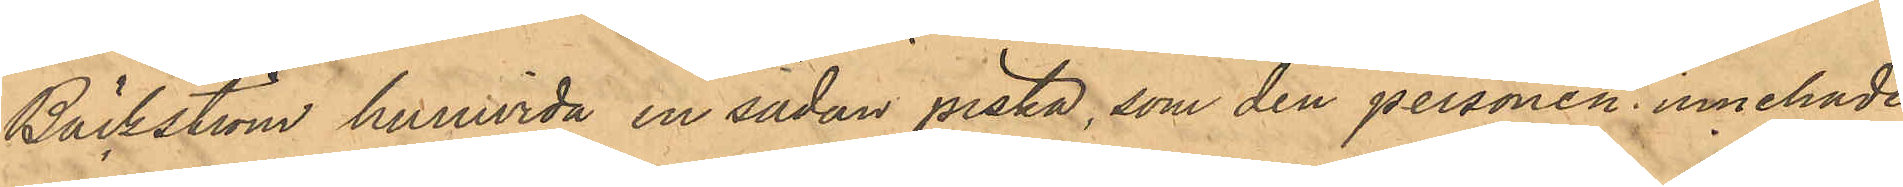Bäckström huruvida en sådan piska, som den personen innehade,
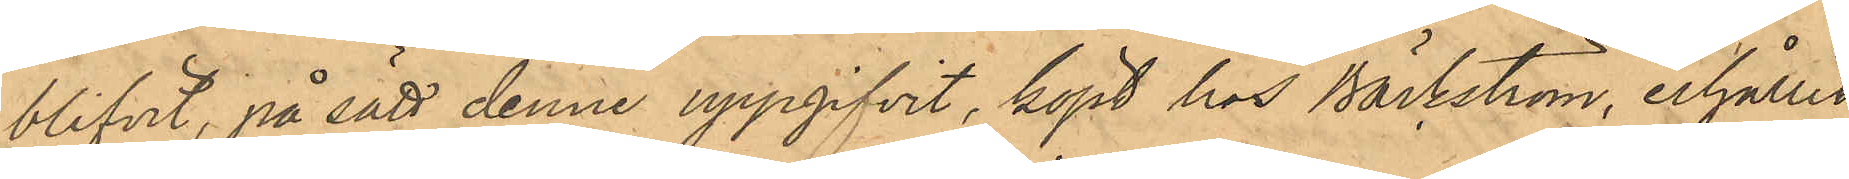blifvit, på sätt denne uppgifvit, köpt hos Bäckström, erhållit
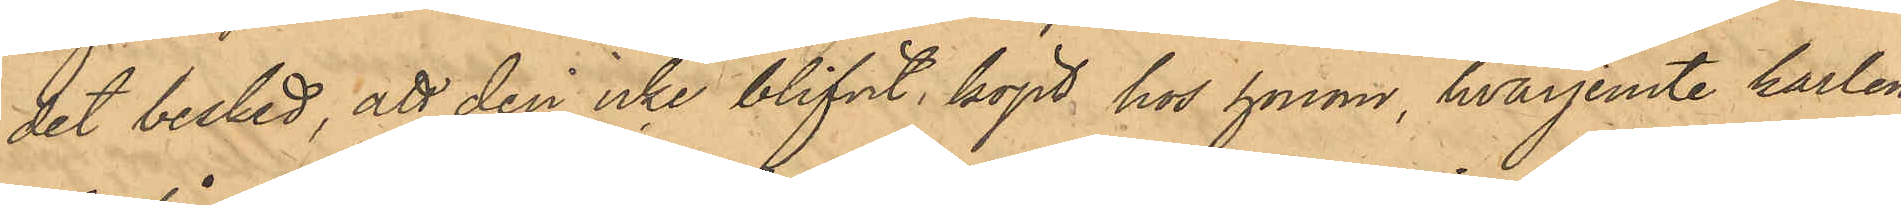det besked, att den icke blifvit köpt hos honom, hvarjemte karlen
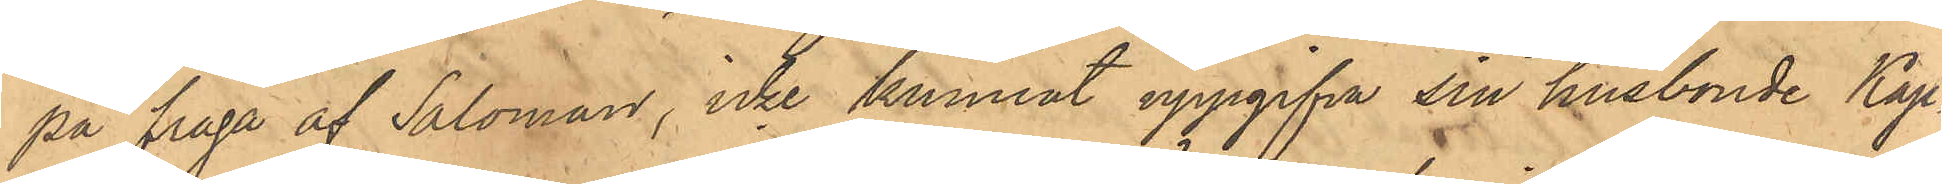på fråga af Saloman, icke kunnat uppgifva sin husbonde Kap¬
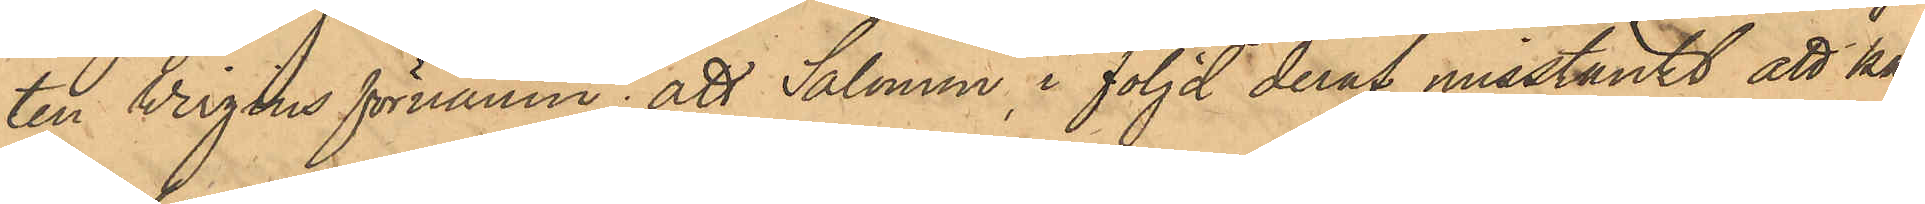ten Wirgins förnamn; att Salomon, i följd deraf misstänkt att kar¬
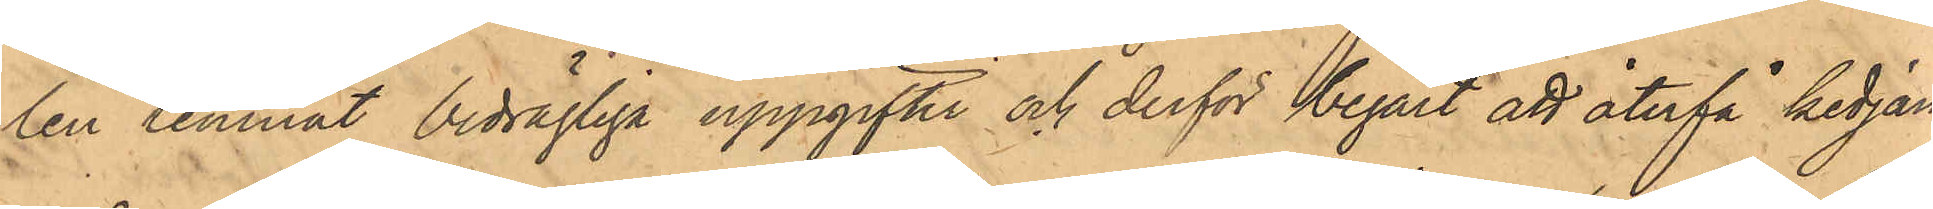len lemnat bedrägliga uppgifter och derför begärt att återfå kedjan
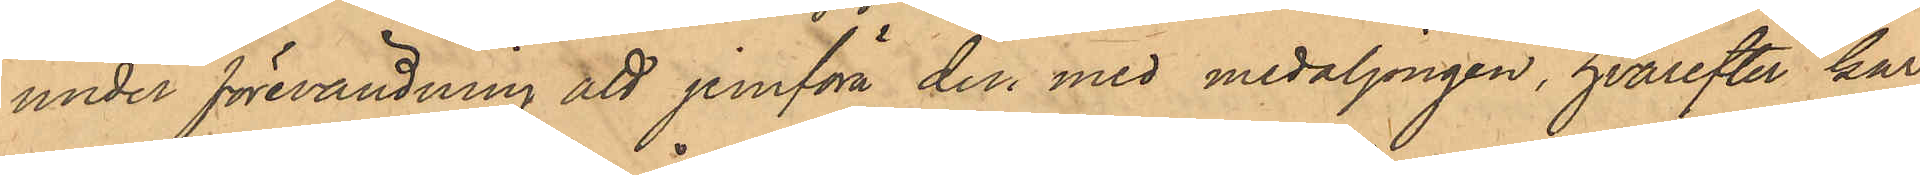under förevändning att jemföra den med medaljongen, hvarefter kar¬
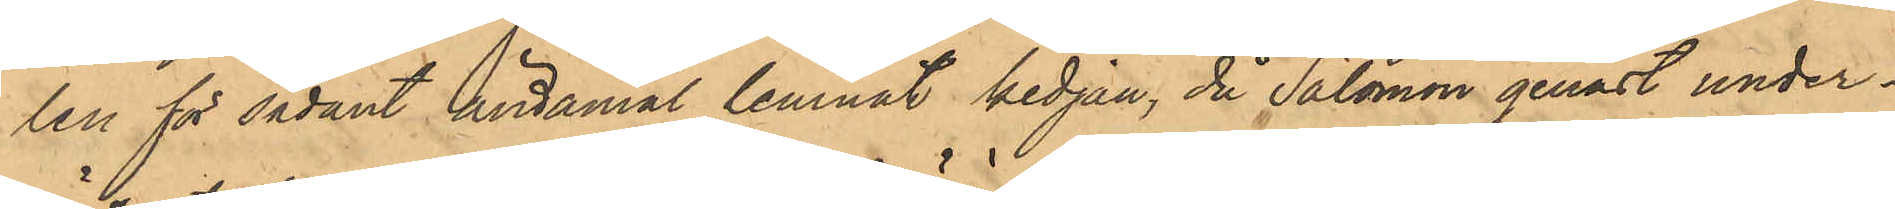len för sådant ändamål lemnat kedjan, då Salomon genast under¬
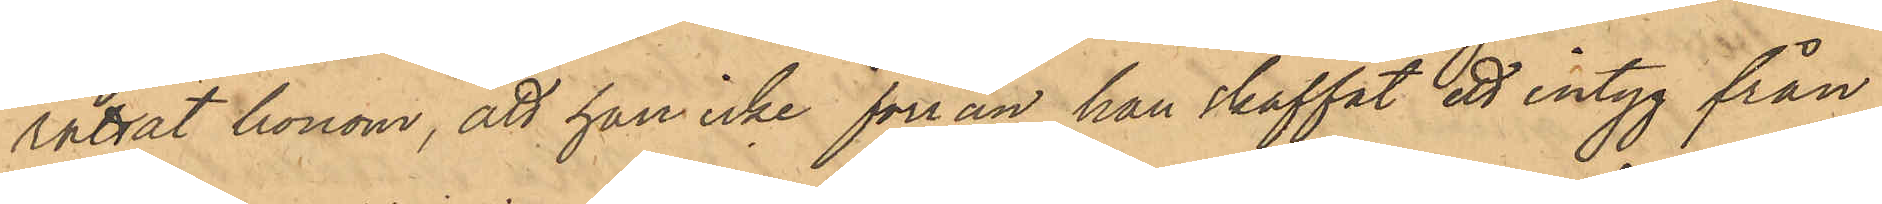rättat honom, att han icke förrän han skaffat ett intyg från
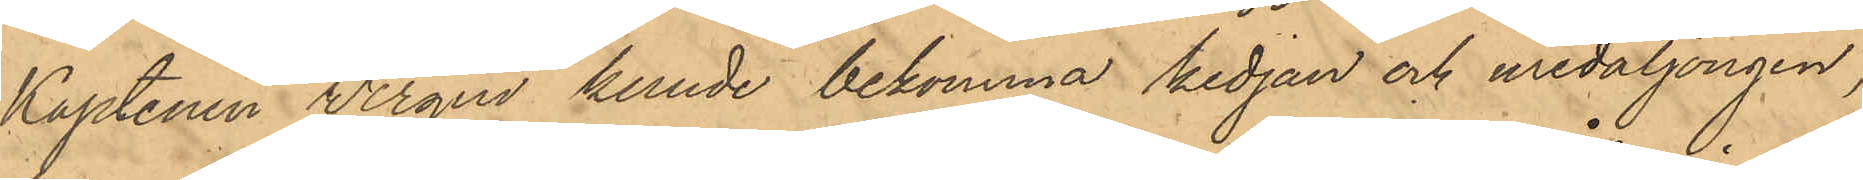Kaptenen Wirgin kunde bekomma kedjan och medaljongen
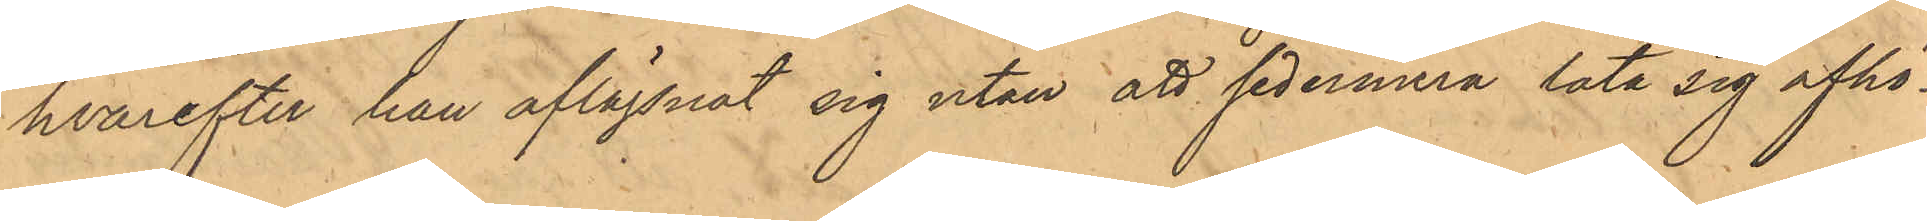hvarefter han aflägsnat sig utan att sedermera låta sig afhö¬
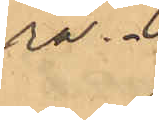ra.
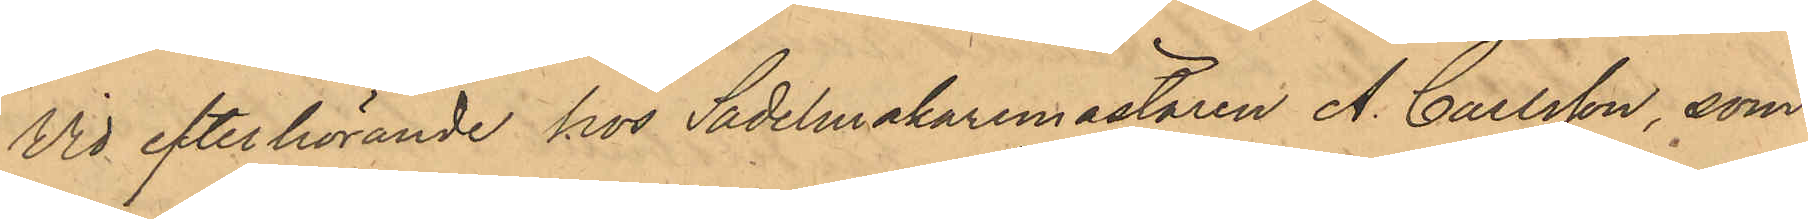Vid efterhörande hos Sadelmakaremästaren A. Carlsson, som
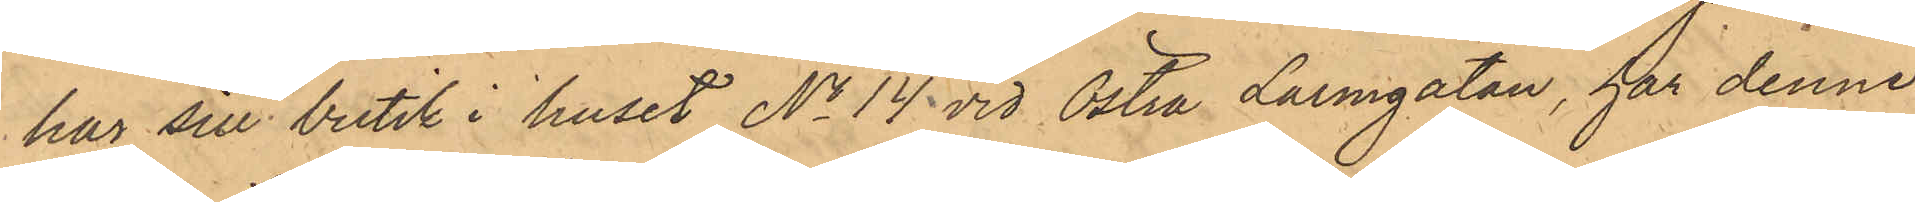har sin butik i huset No 14 vid Östra Larmgatan, har denne
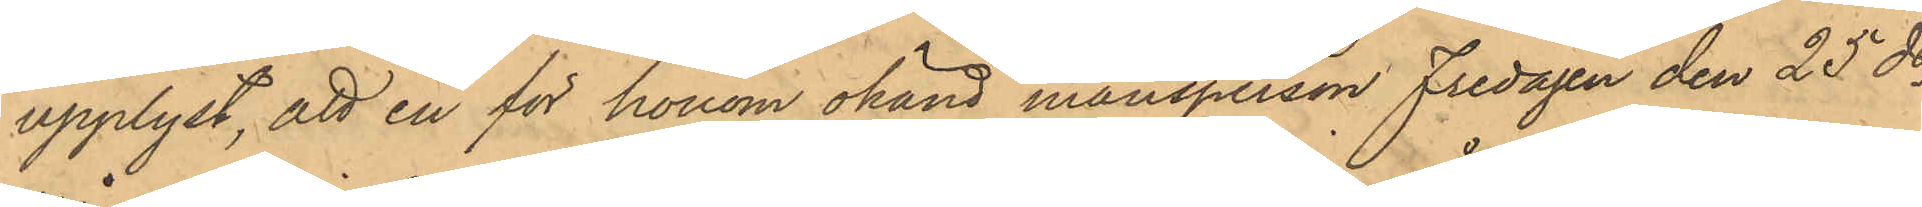upplyst, att en för honom okänd mansperson Fredagen den 25 ds
